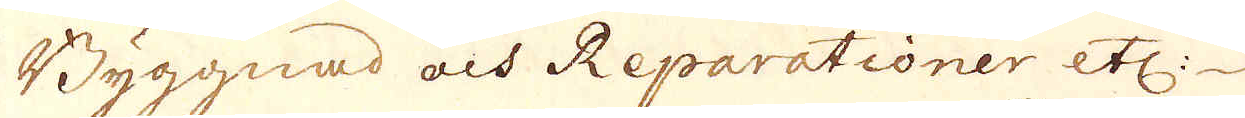Byggnad och Reparationer etc.
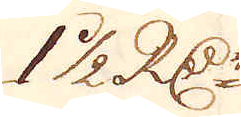1 1/2 R:Dr
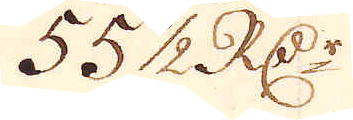55 1/2 R:Dr
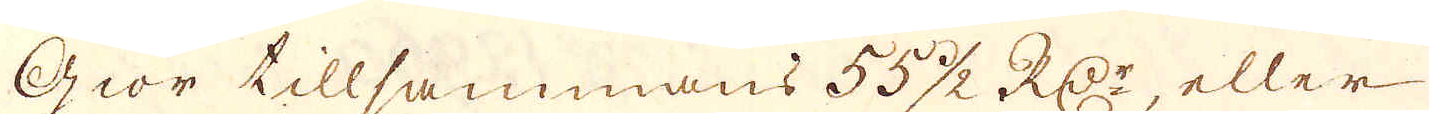giör tillsammans 55 1/2 RD:r, eller
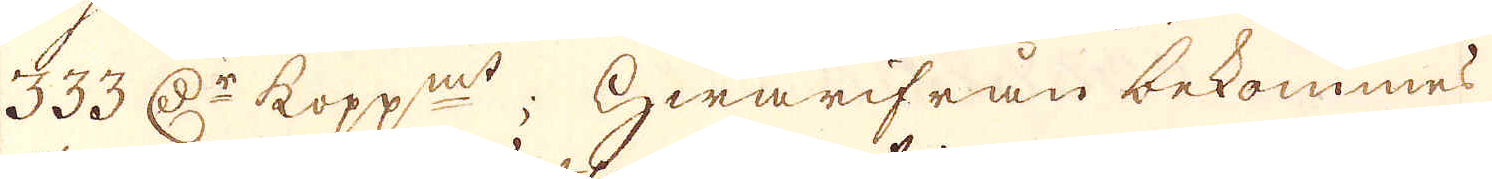333 D:r kopp:mt; Hwarifrån bekommes
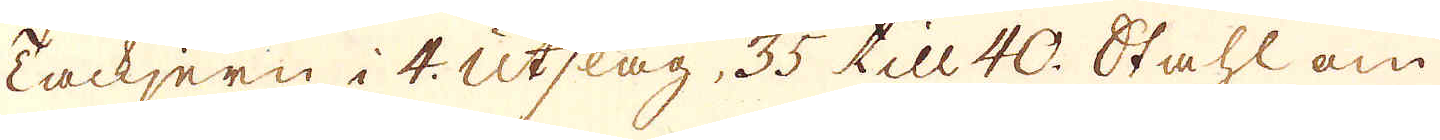Tackjern i 4. Utslag, 35 till 40. Stahl om
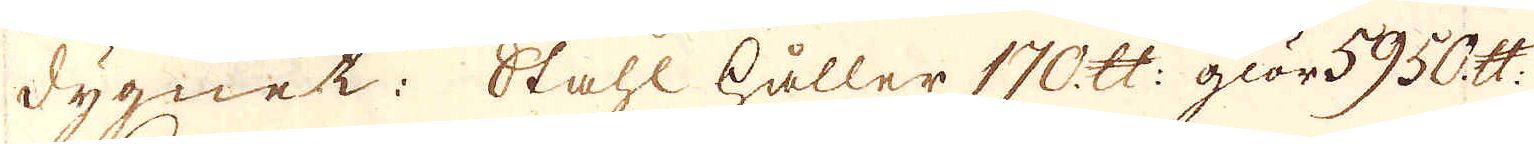dygnet: Stahl håller 170 skålpund: giör 5950 skålpund
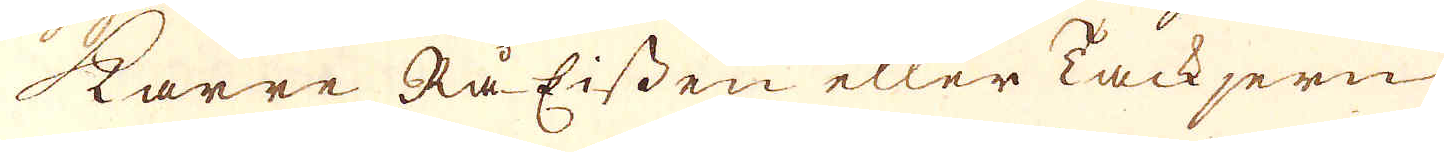Karre Rå Eissen eller Tackjern
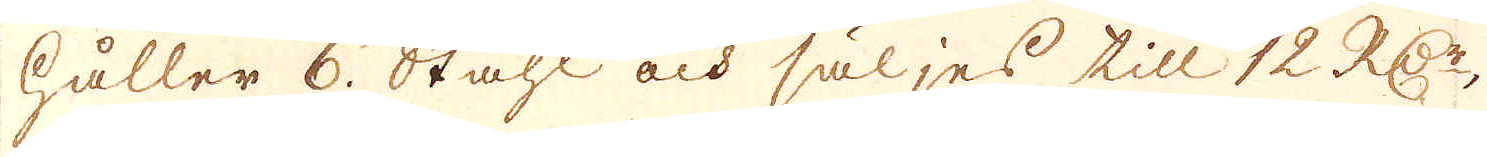håller 6. Stahl och säljes till 12 R:Dr
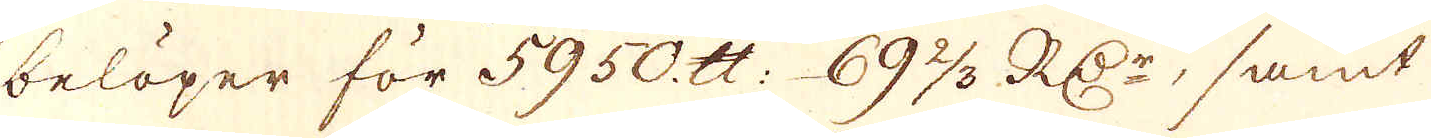belöper för 5950. skålpund: 69 1/3 RD:r, samt
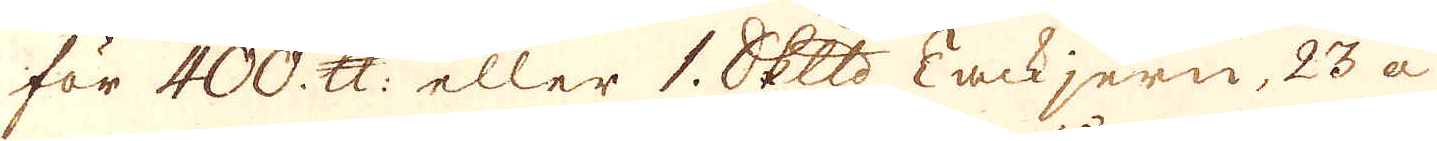för 400. skålpund eller 1. skeppund Tackjern, 23 a
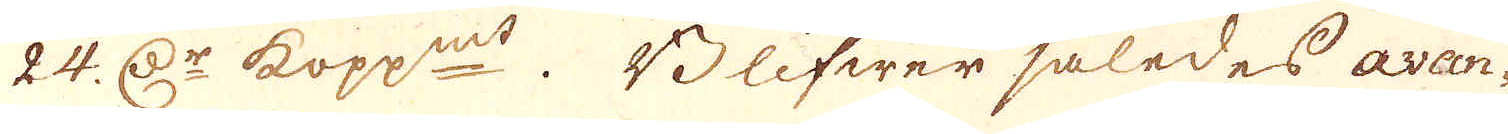24. D:r kopp:mt. Blifwer således avan-
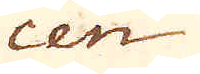cen
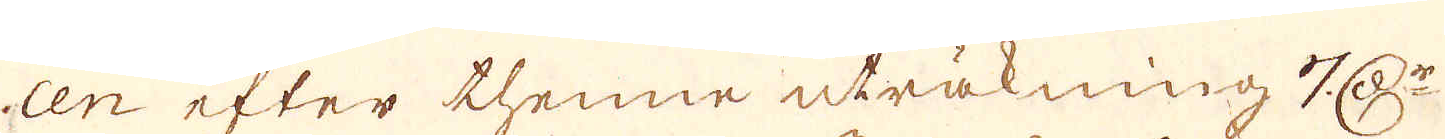cen efter thenne uträkning 7 D:r
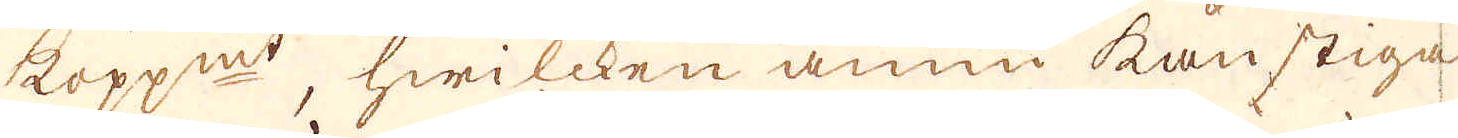kopp:mt, hwilcken ännu kan stiga
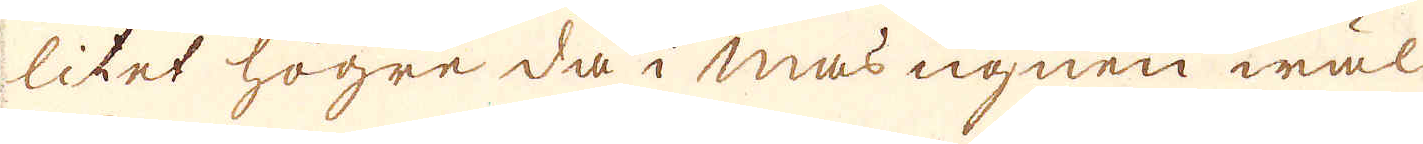litet högre då i masugnen wäl
